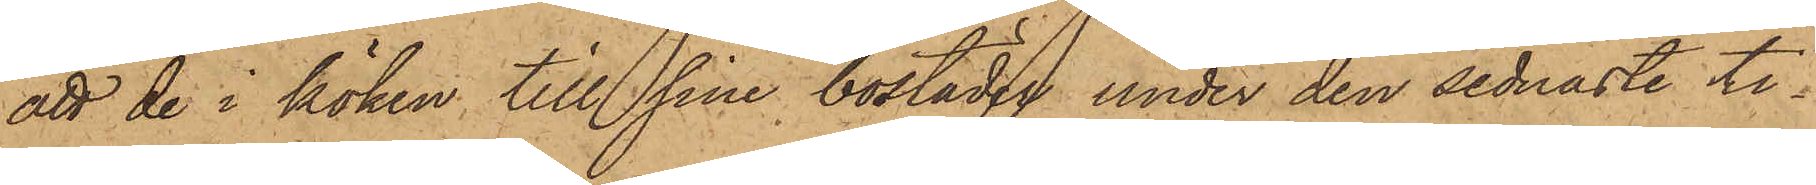att de i köken till sina bostaden under den sednaste ti¬
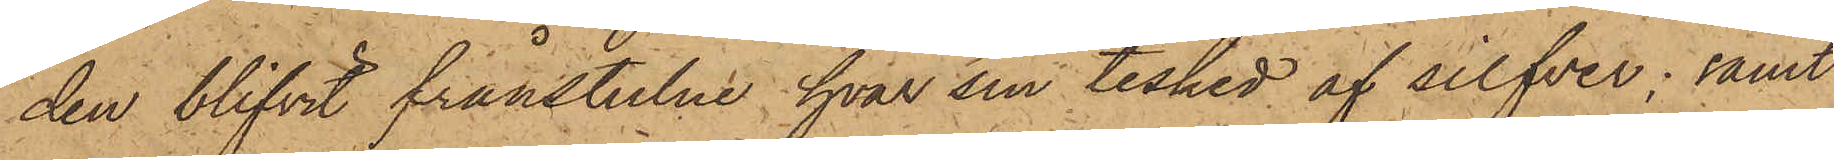den blifvit frånstulne hvar sin tesked af silfver; samt
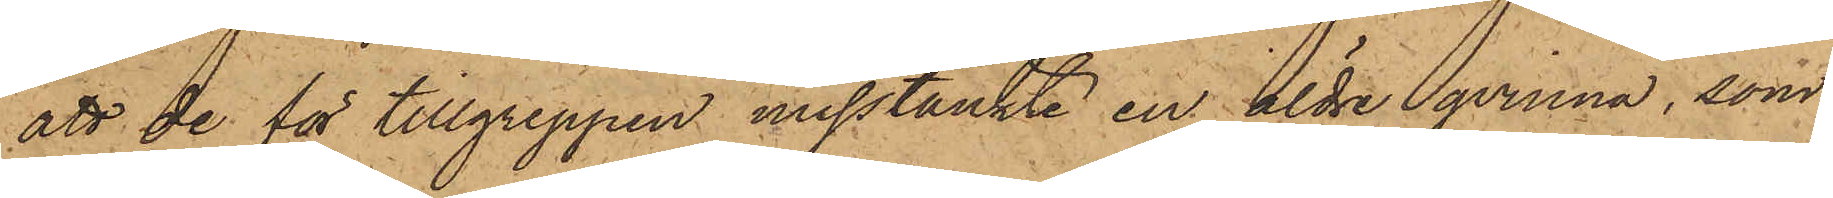att de för tillgreppen misstänkte en äldre qvinna, som
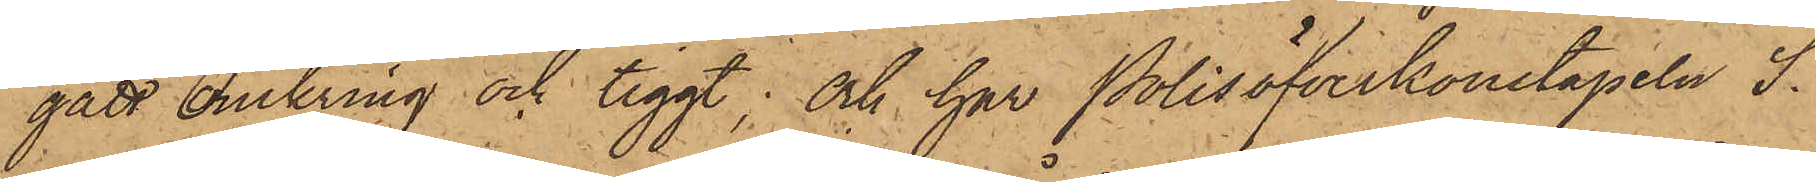gått omkring och tiggt; och har Polisöfverkonstapeln S.
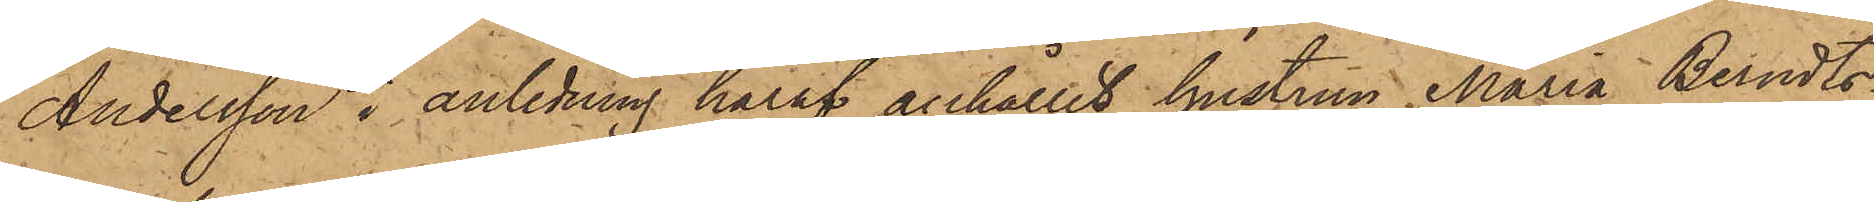Andersson i anledning häraf anhållit hustrun Maria Berndts¬
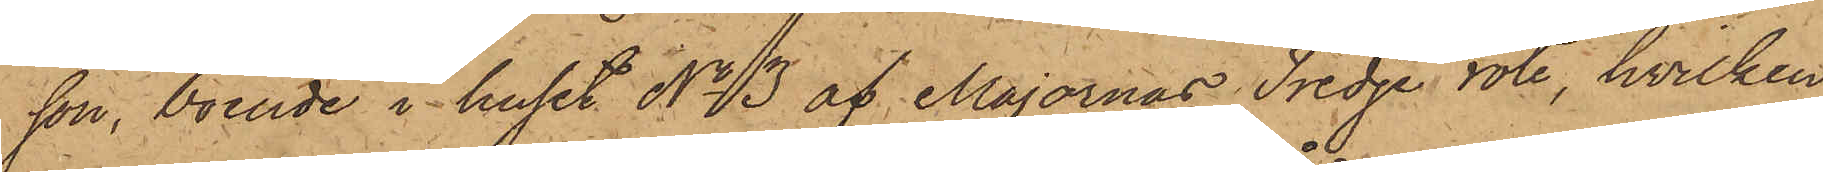son, boende i huset No 13 af Majornas Tredje rote, hvilken
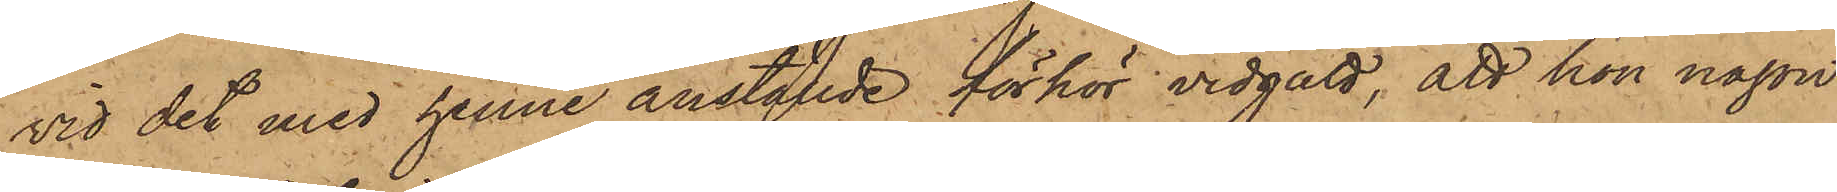vid det med henne anställde förhör vidgått, att hon någon
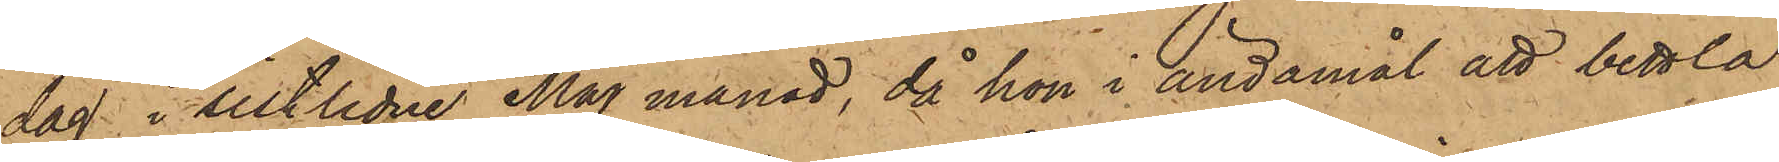dag i sistlidne Maj månad, då hon i ändamål att bettla
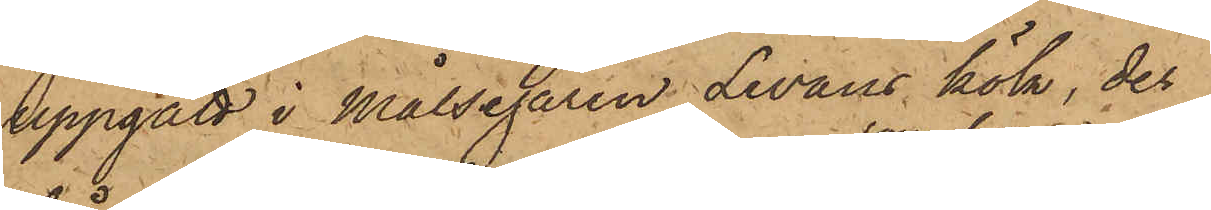uppgått i Målsegaren Levans kök, der
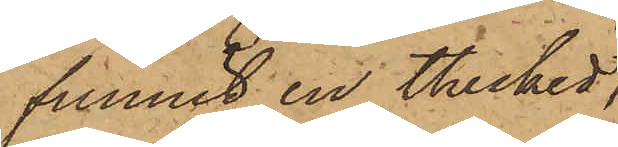funnit en thesked,
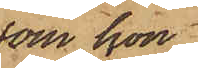som hon
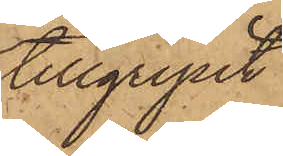tillgripit
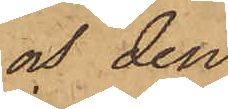och den
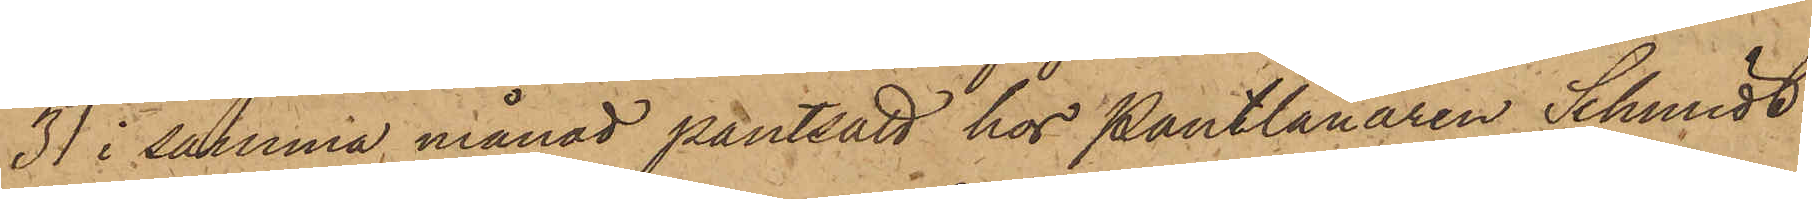31 i samma månad pantsatt hos Pantlånaren Schmidt
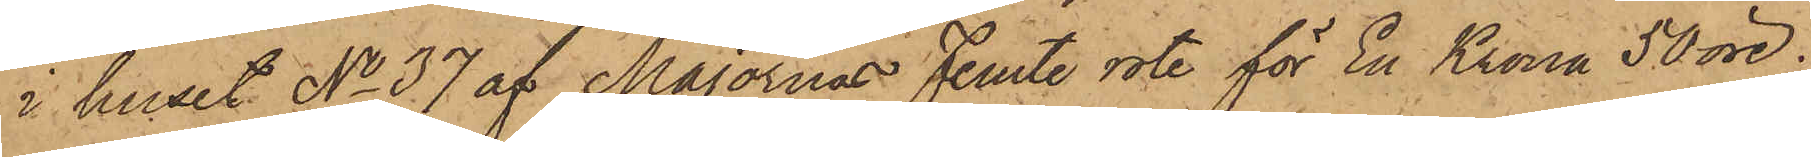i huset No 37 af Majornas Femte rote för En Krona 50 öre;
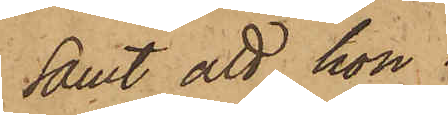samt att hon
